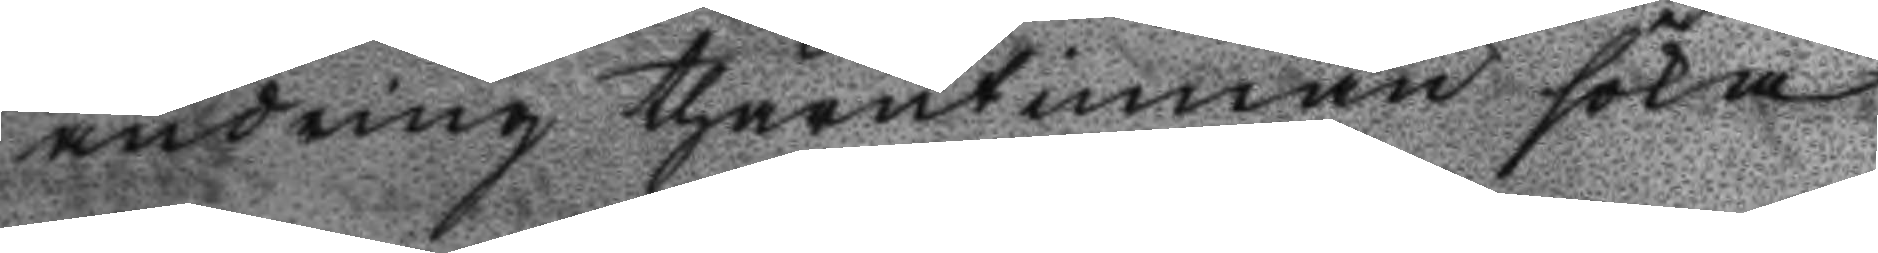ändring thärutinnan söka
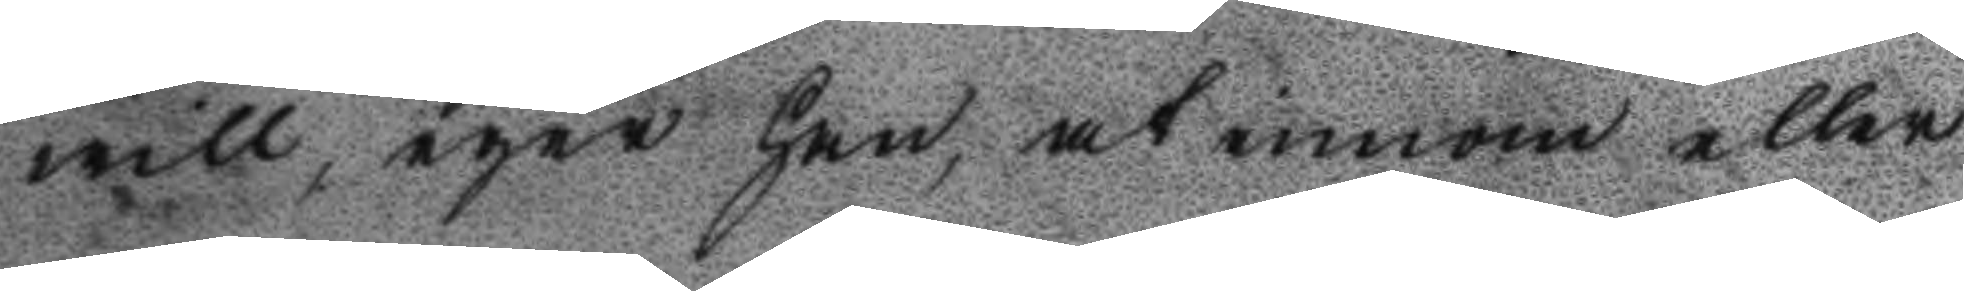will, eger han, at innan eller
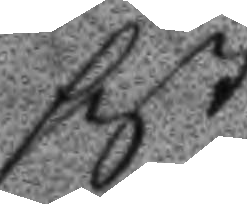sist
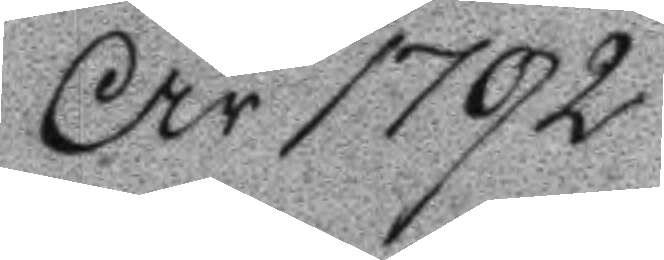År 1792
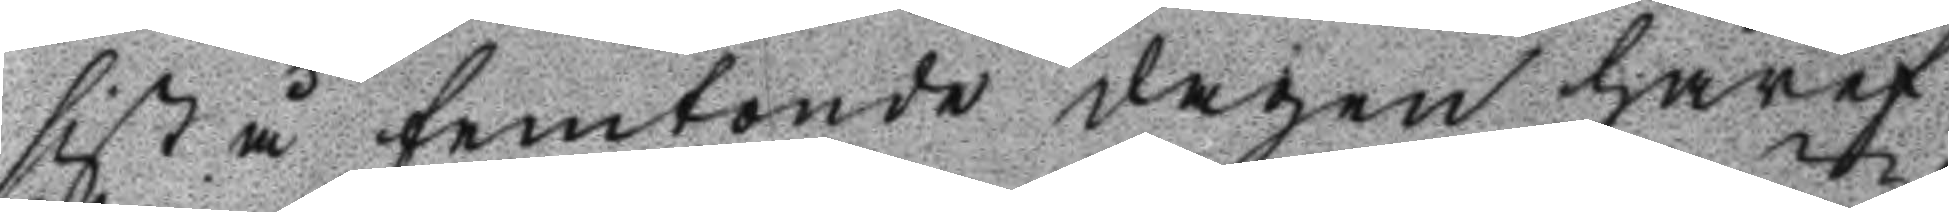sist å femtonde dagen häref¬
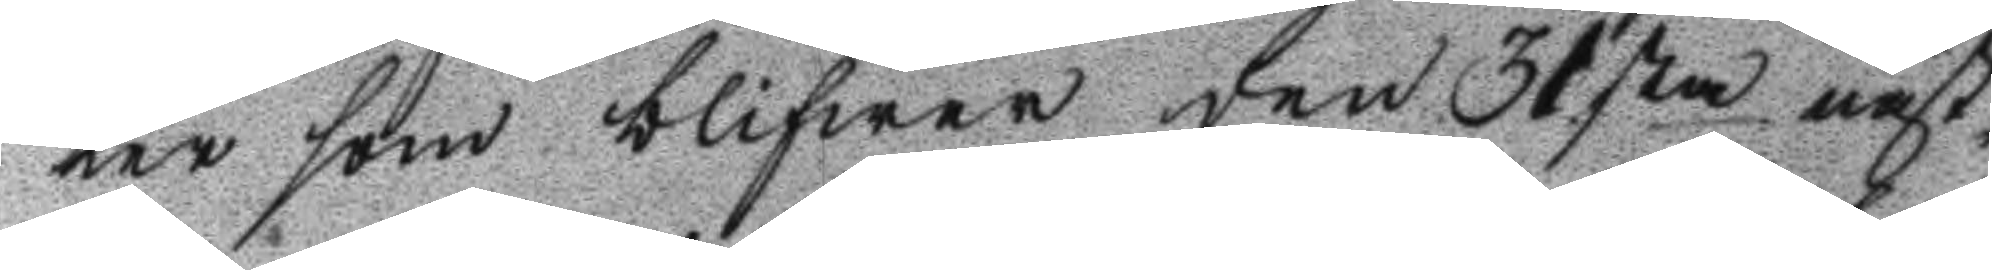ter som blifwer den 31sta näst¬
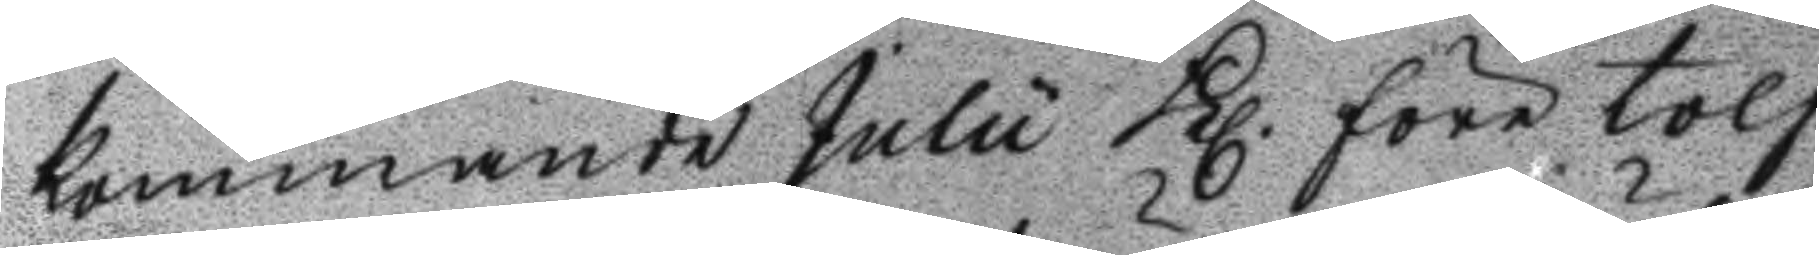kommande Julii Kl. före tolf
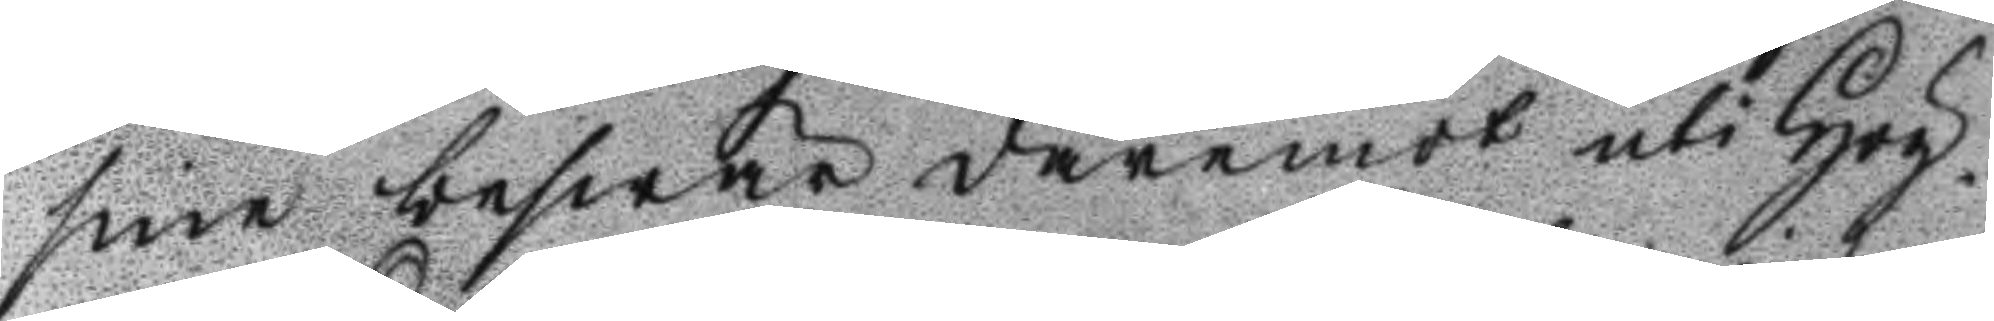sine beswär däremot uti Hög¬
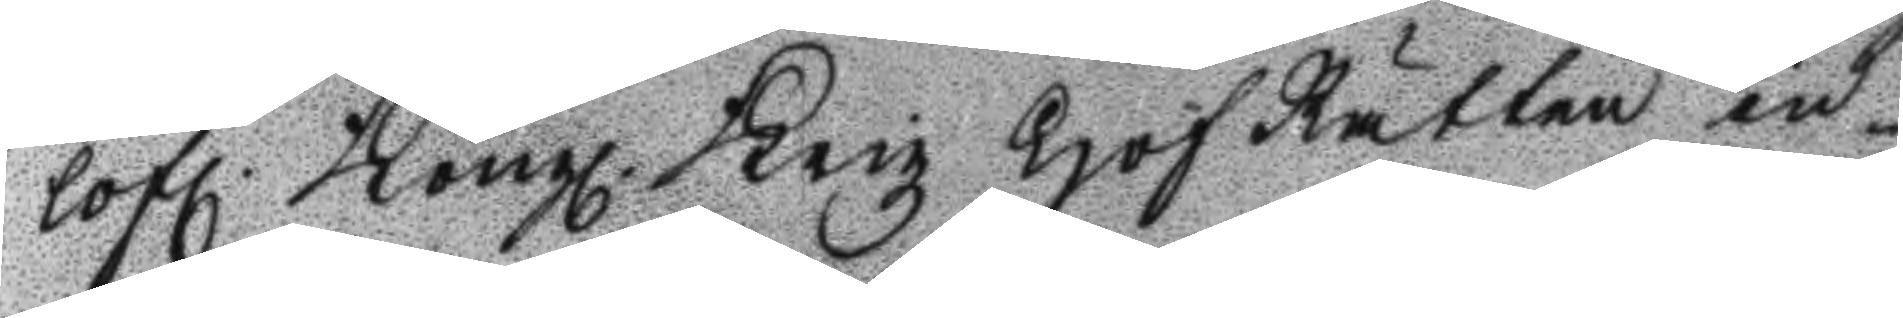lofl. Kongl. Krigz Hof Rätten in¬
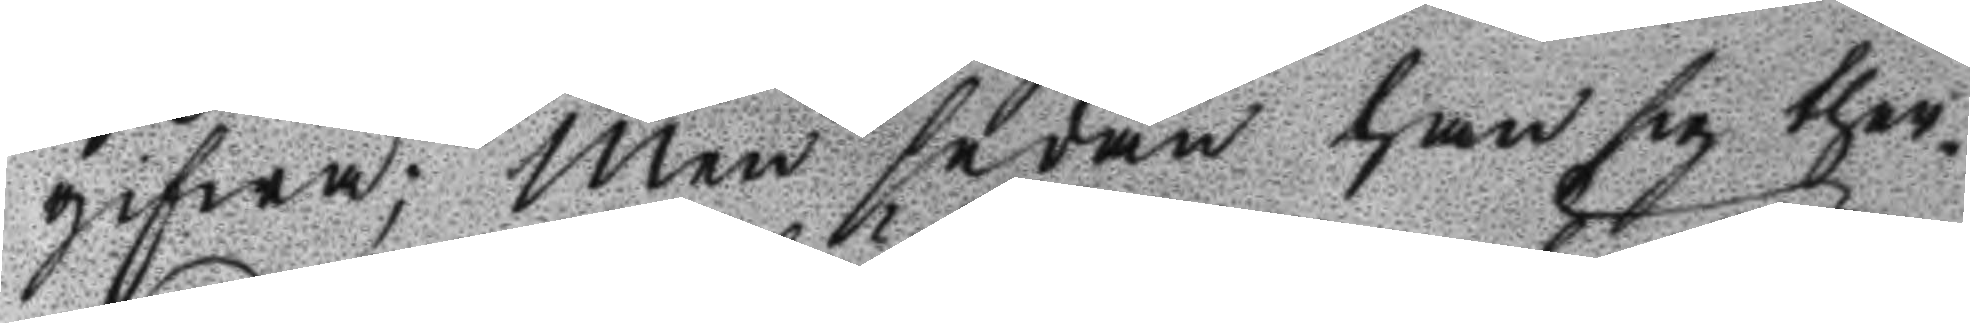gifwa; men sedan han sig ther¬
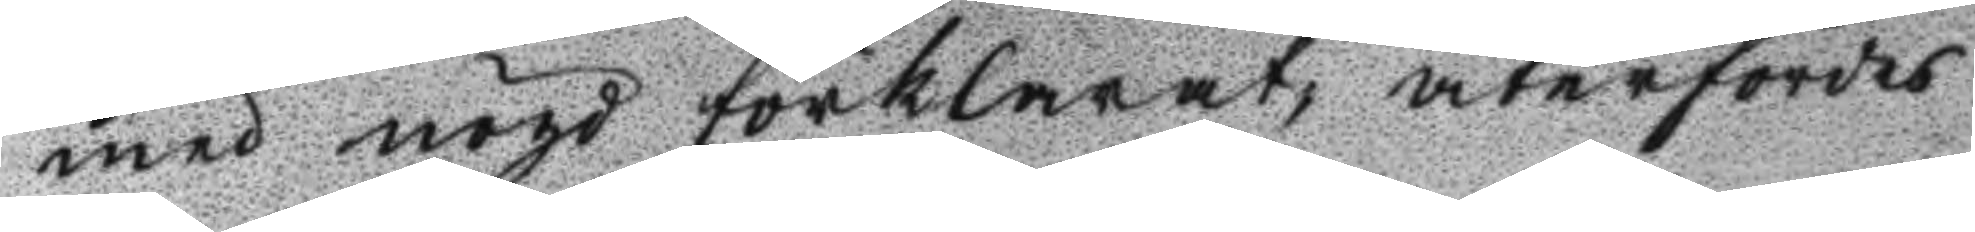med nögd förklarat, återfördes
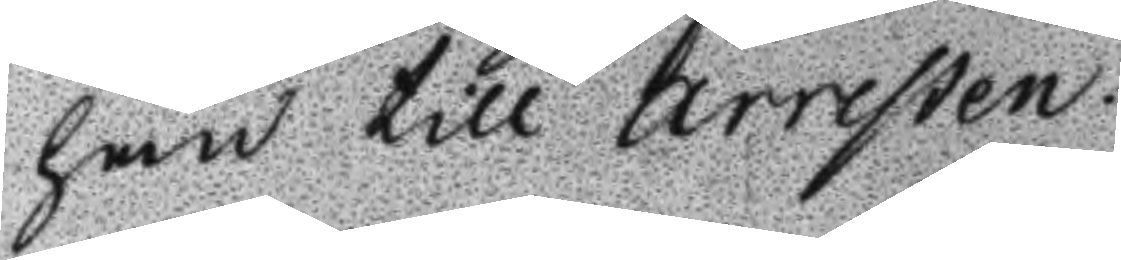han till arresten.
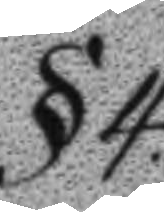§4.
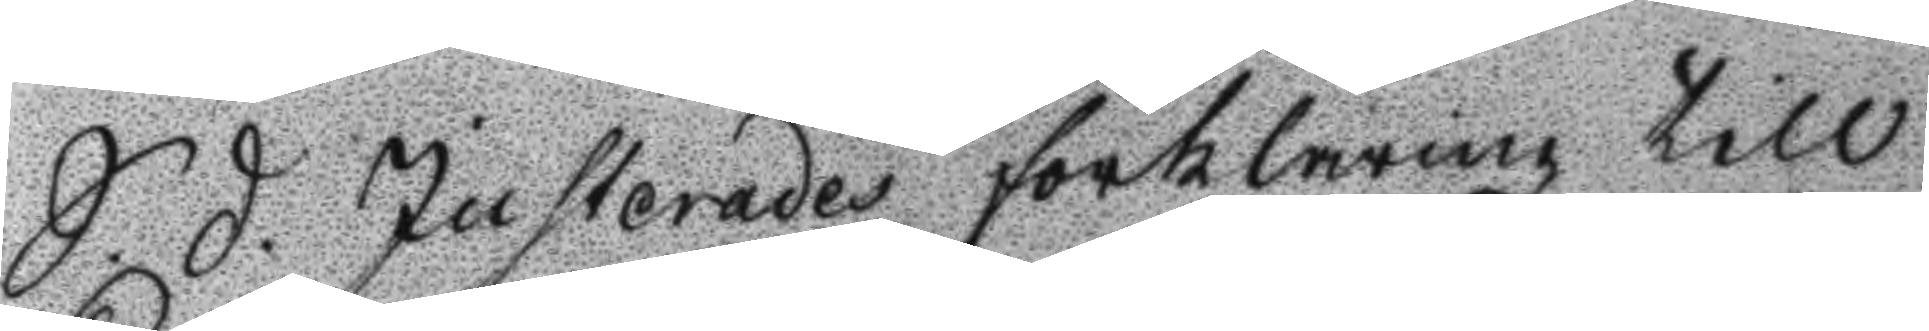S.D. Justerades förklaring till 
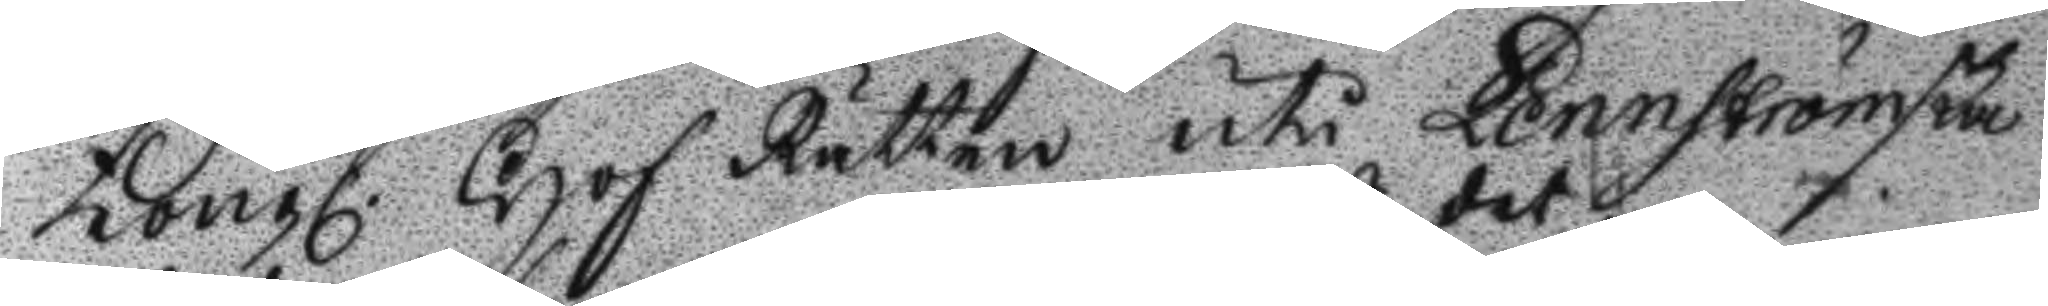Kongl. Hof Rätten uti Lennströmska
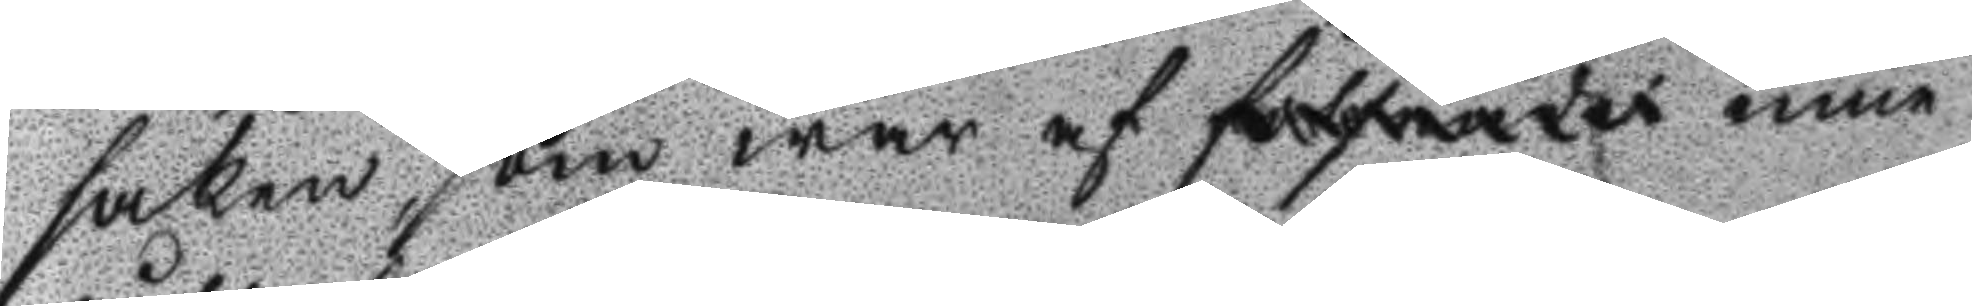saken, som waraf det mine
